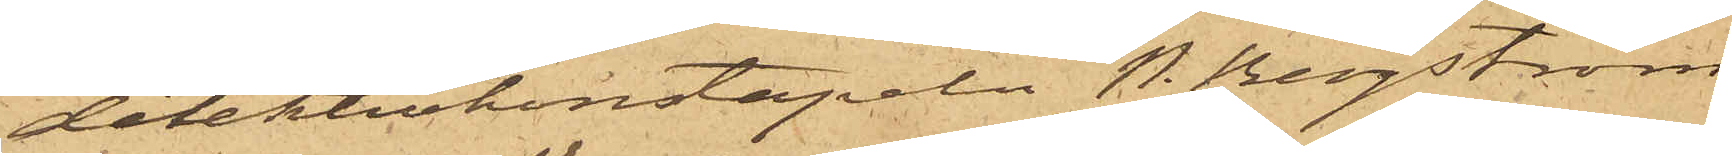detektivkonstapeln P. Bergström
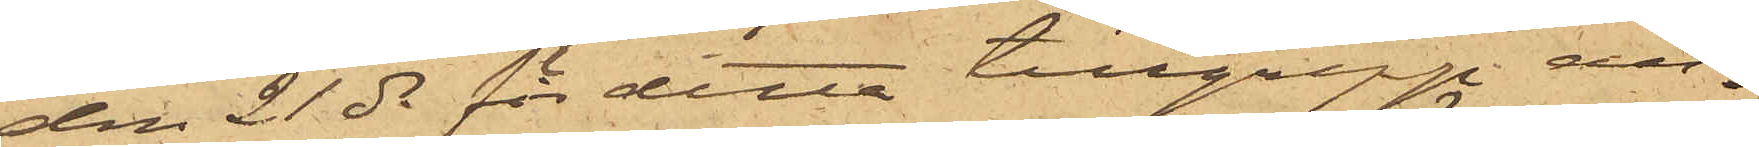den 21 ds för detta tillgrepp an¬
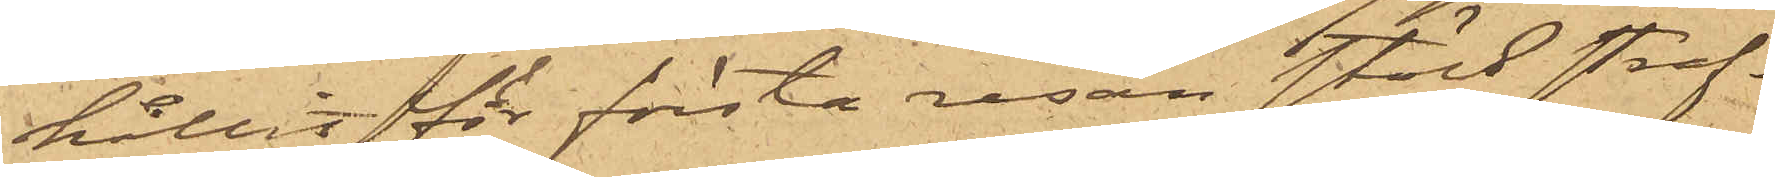hållit för första resan stöld straf¬
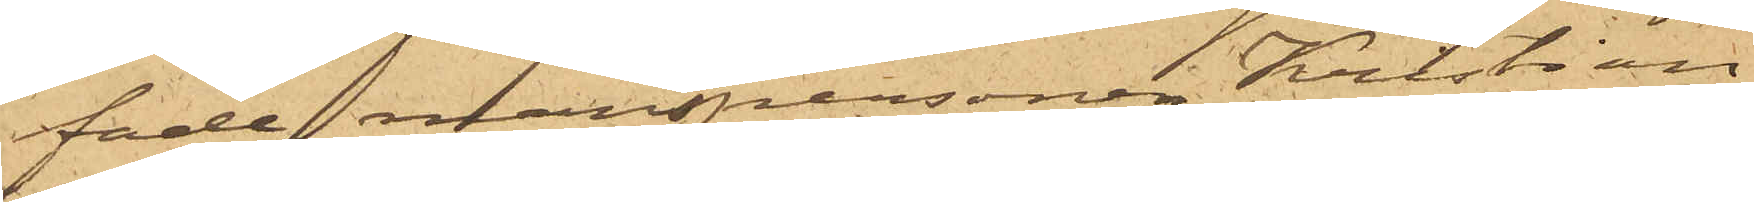fade manspersonen Kristian
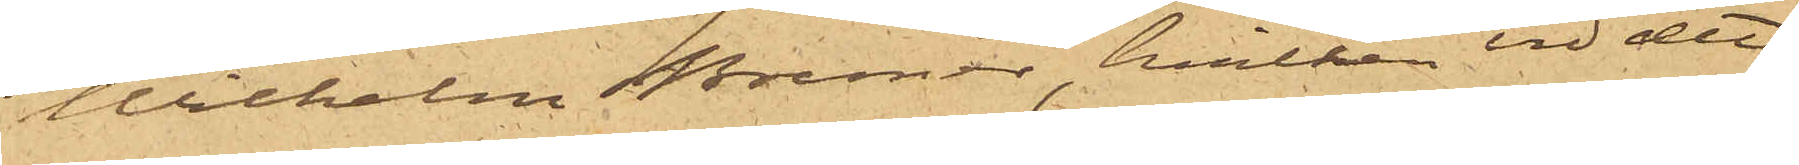Wilhelm Bremer, hvilken vid det
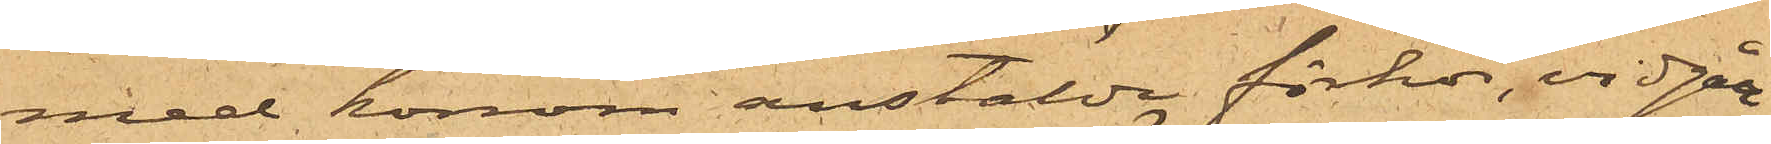med honom anstälda förhör, vidgått
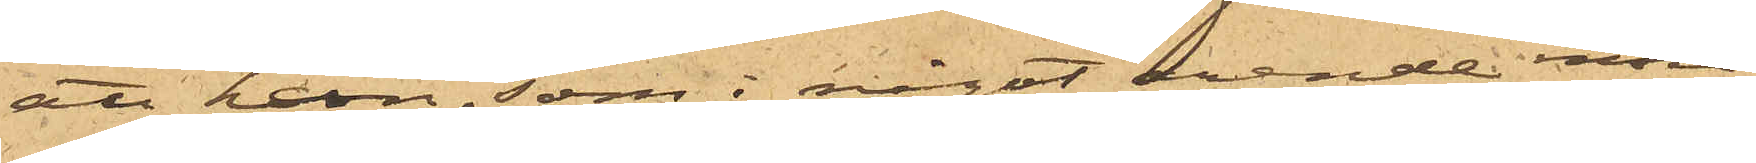att han, som i något ärende inne¬
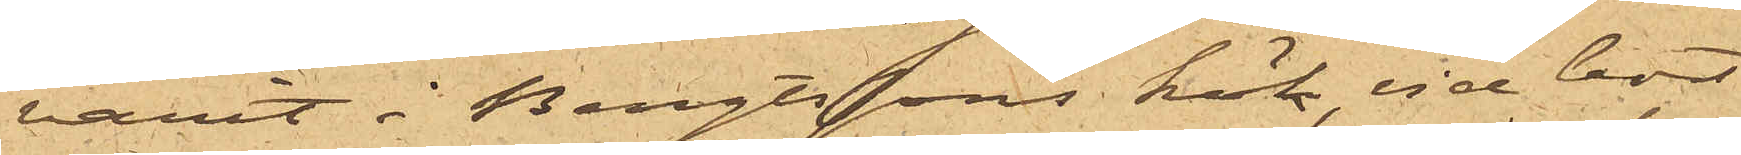varit i Bengtssons kök, vid bort¬
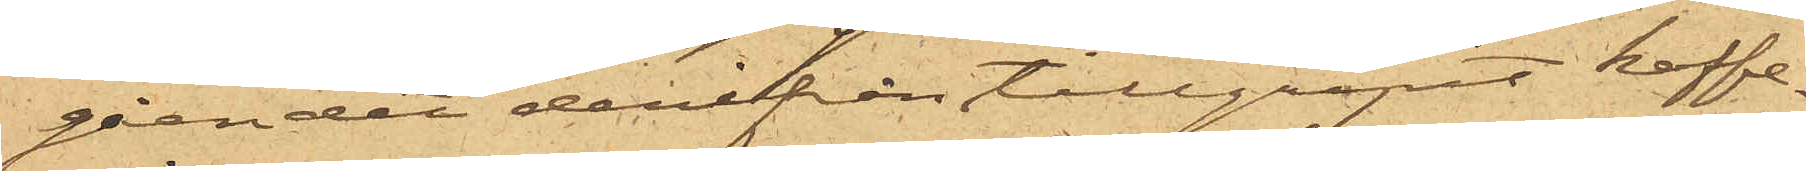gåendet derifrån tillgripit kaffe¬
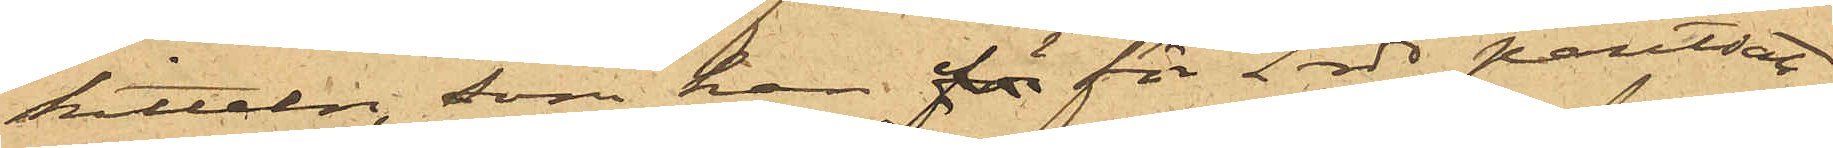kitteln, som han för för 2 rdr pantsatt
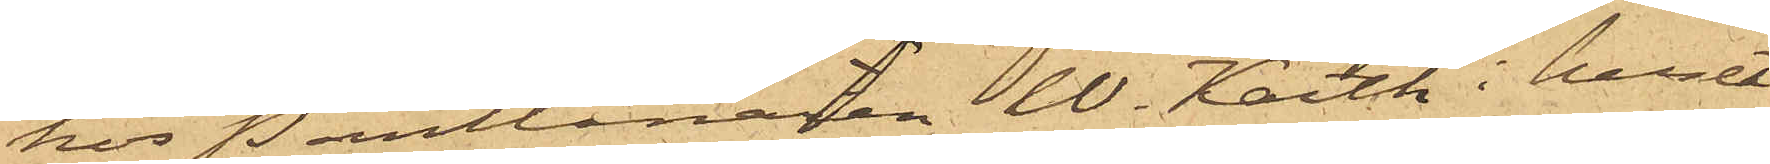hos Pantlånaren W. Karth i huset
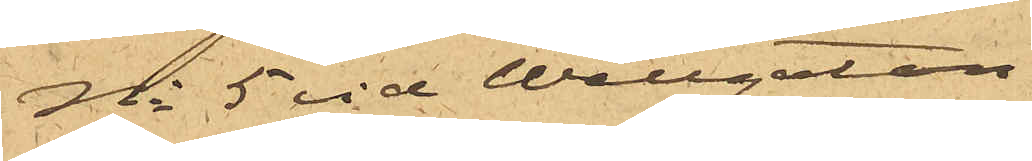No 5 vid Wallgatan.
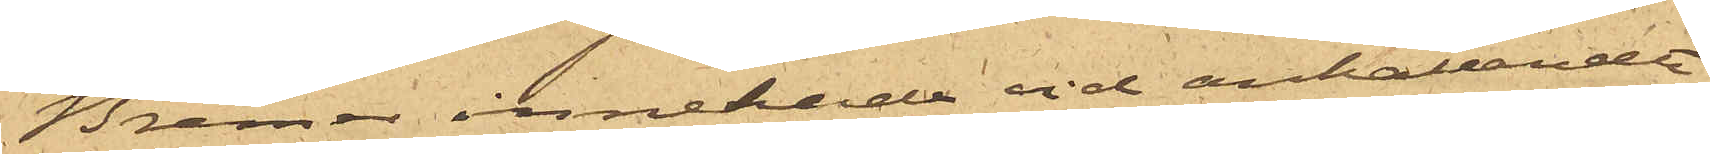Bremer innehade vid anhållandet
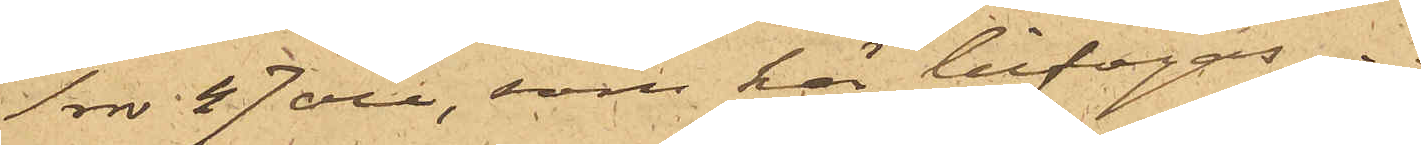1 rdr 47 öre, som här bifogas.
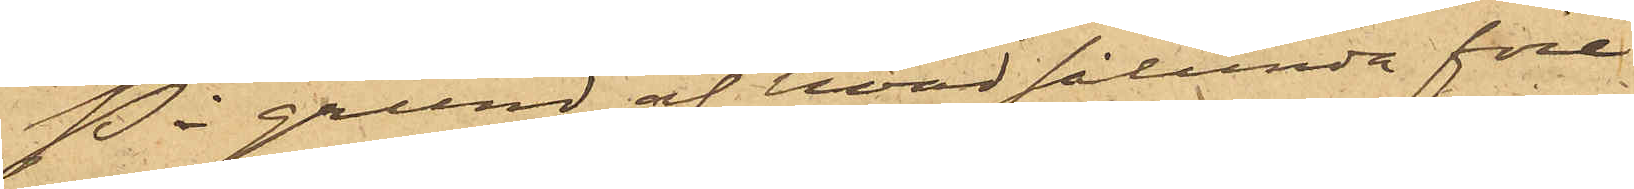På grund af hvad sålunda före¬
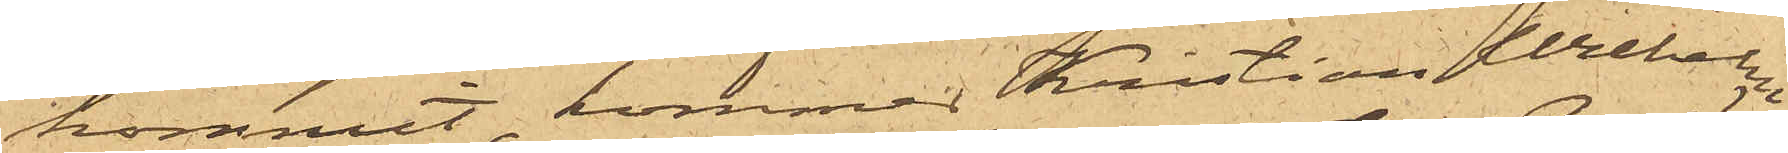kommit, kommer Kristian Wilhelm
